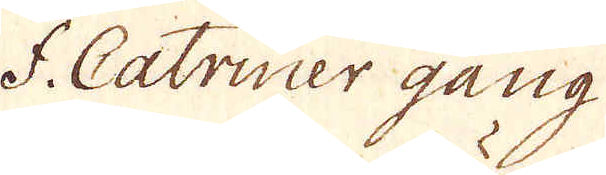f. Catriner gång
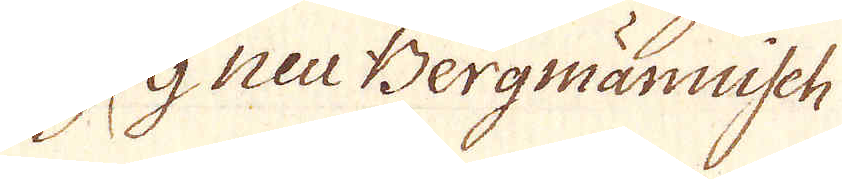9 neu Bergmännisch
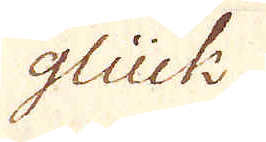glück
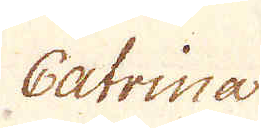Catrina
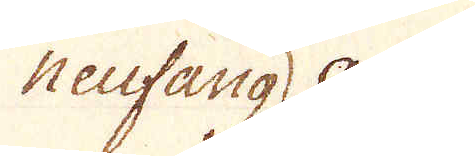neufang
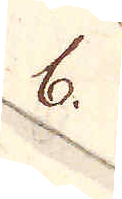8.
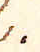e.
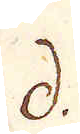d.
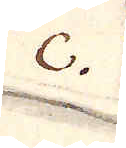2.
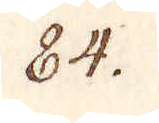84.
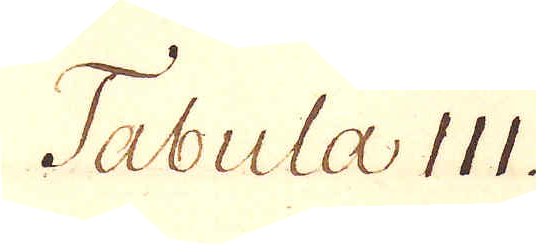Tabula III.
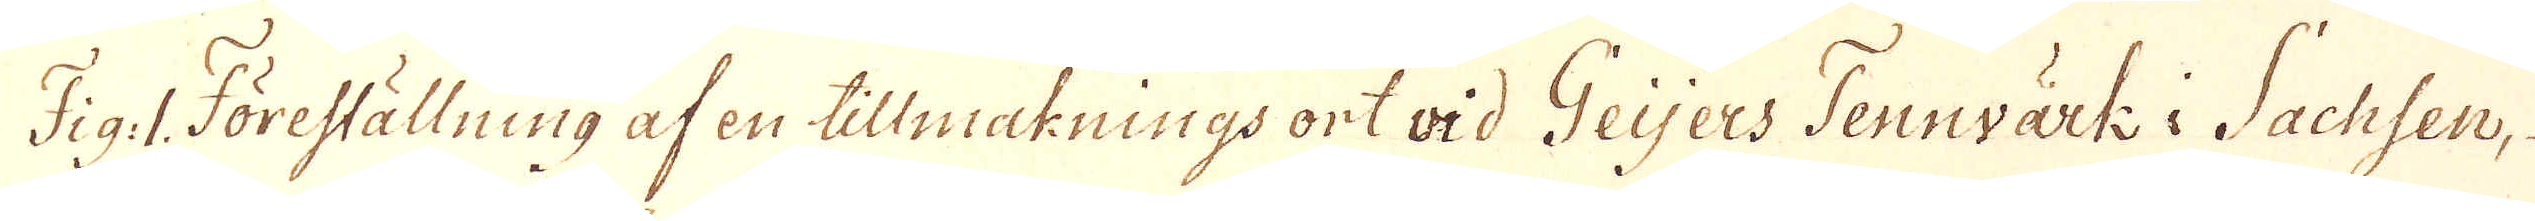Fig: 1. Föreställning af en tillmaknings ort vid Geijers Tennvärk i Sachsen,
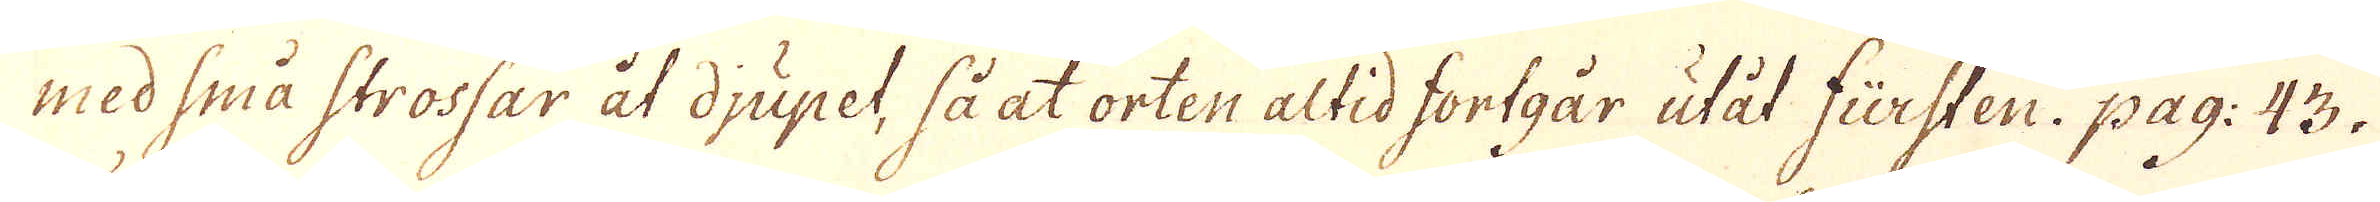med små strossar åt djupet, så at orten altid fortgår utåt fürsten. pag: 43.
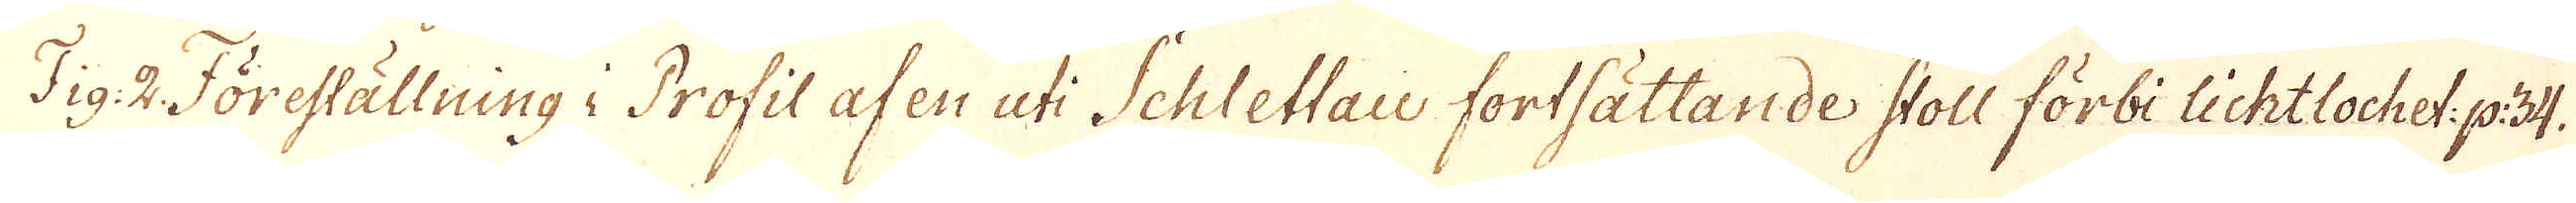Fig: 2 Föreställning i Profil af en uti Schlettau fortsättande stoll förbi lichtlochet: p: 34.
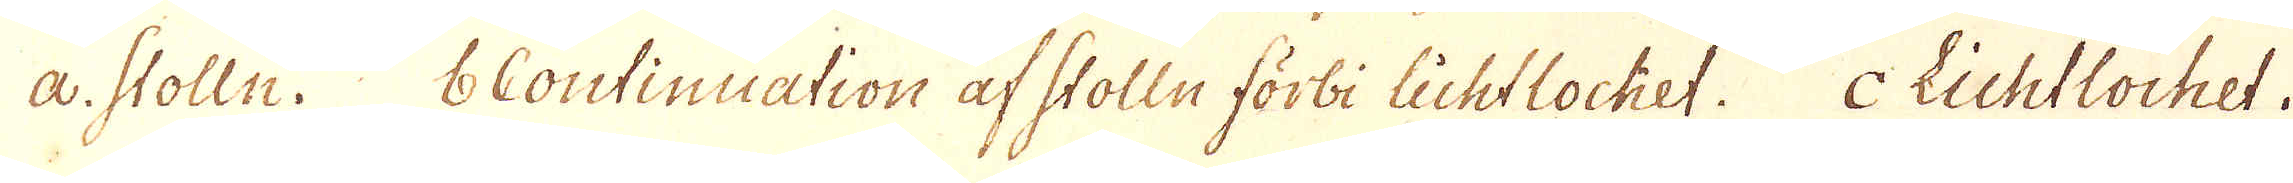a. Stolln. b Continuation af Stolln förbi lichtlochet. c lichtlochet.
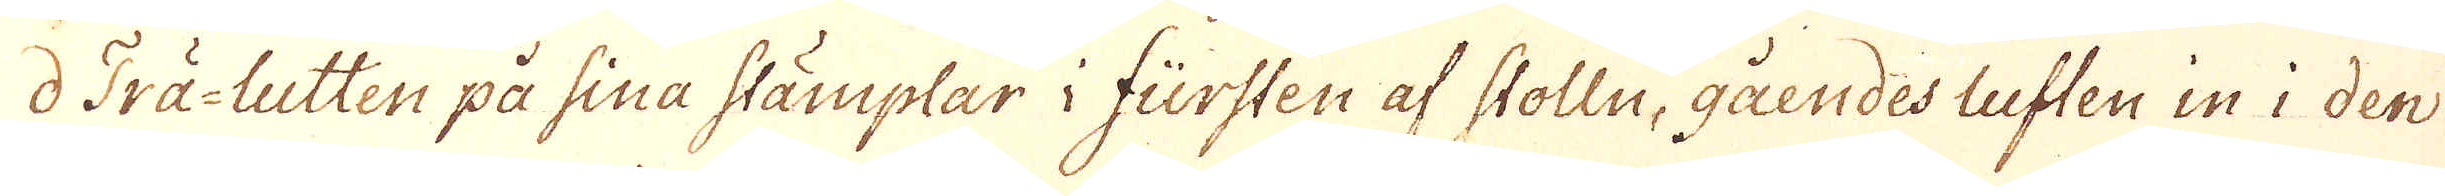d Trä-Lutten på sina stämplar i fürsten af Stolln, gåendes luften in i den
